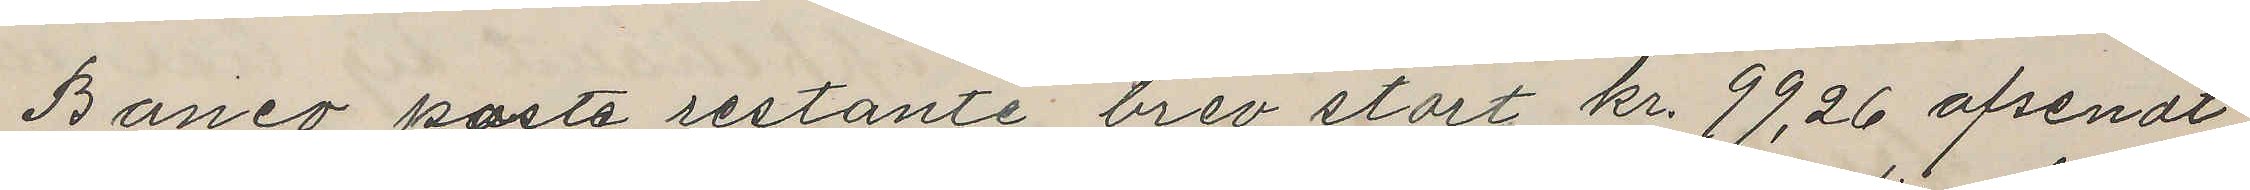Banco poste restante brev stort kr. 99,26 afsendt
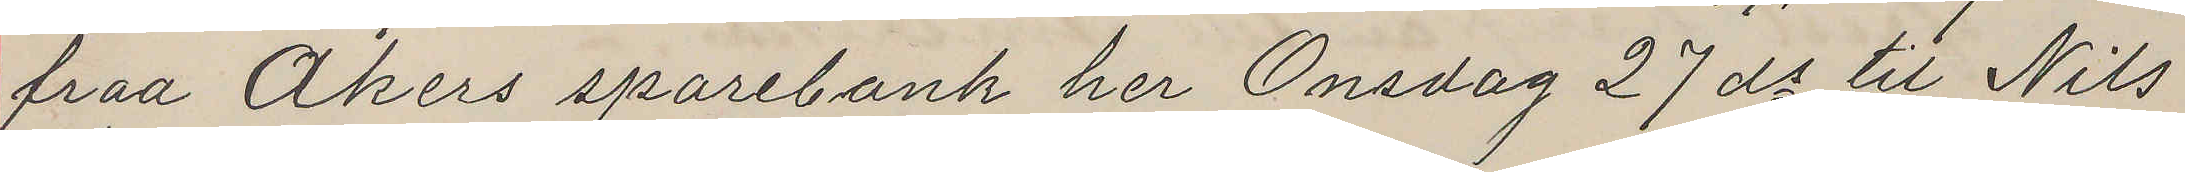fraa Akers sparebank her Onsdag 27 ds til Nils
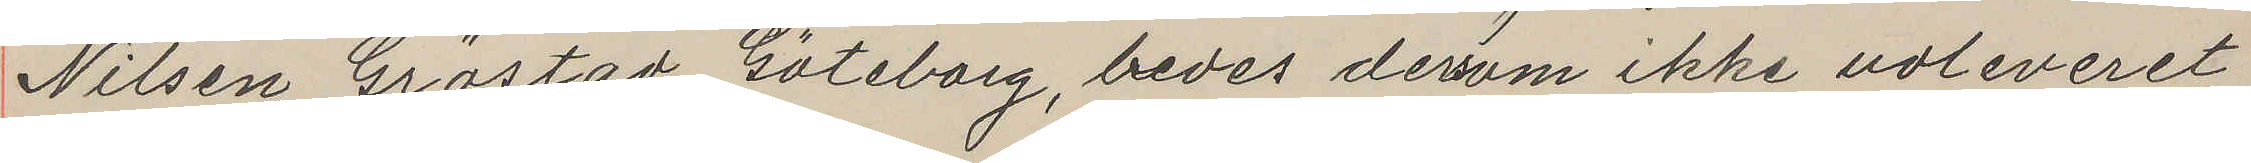Nilsen Gröstad Göteborg, bedes derom ikke voleveret
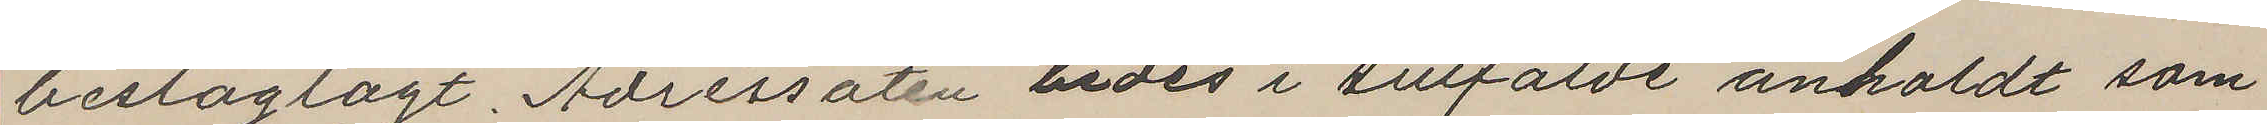beslaglagt. Adressaten bedes i tillfälde anholdt som
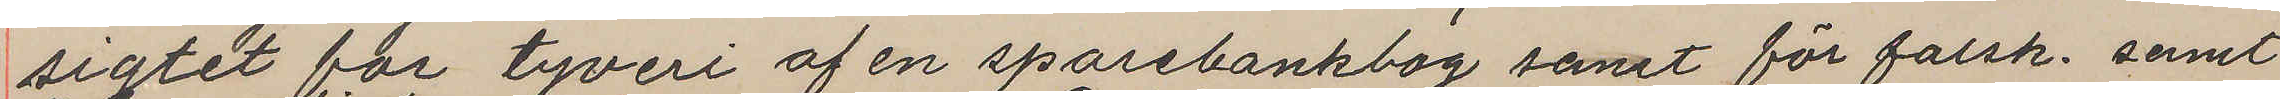sigtet for tyveri af en sparebankbog samt för falsk. samt
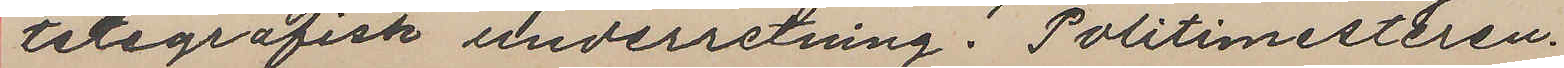telegrafisk underretning. Politimesteren.
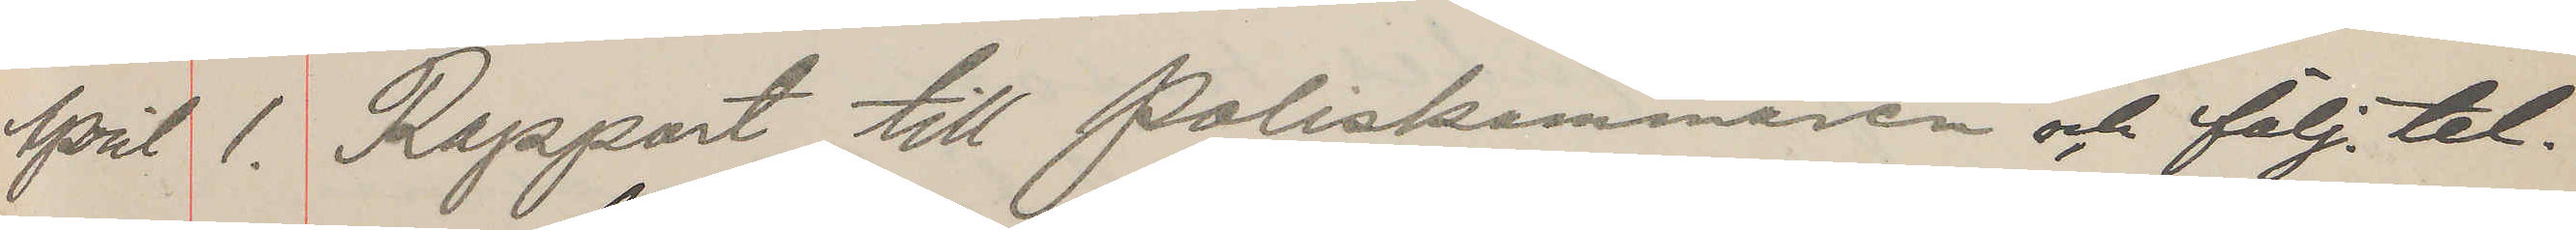April 1. Rapport till Poliskammaren och följ. tel.
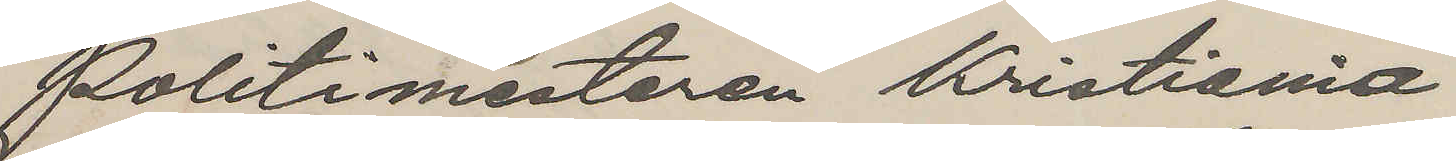Politimesteren Kristiania
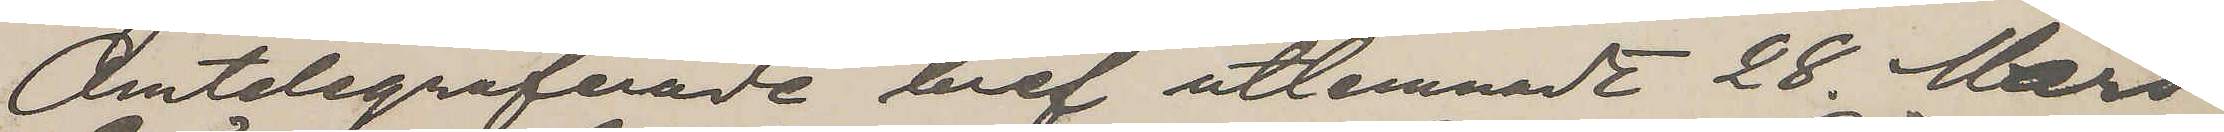Omtelegraferade bref utlemnadt 28. Mars
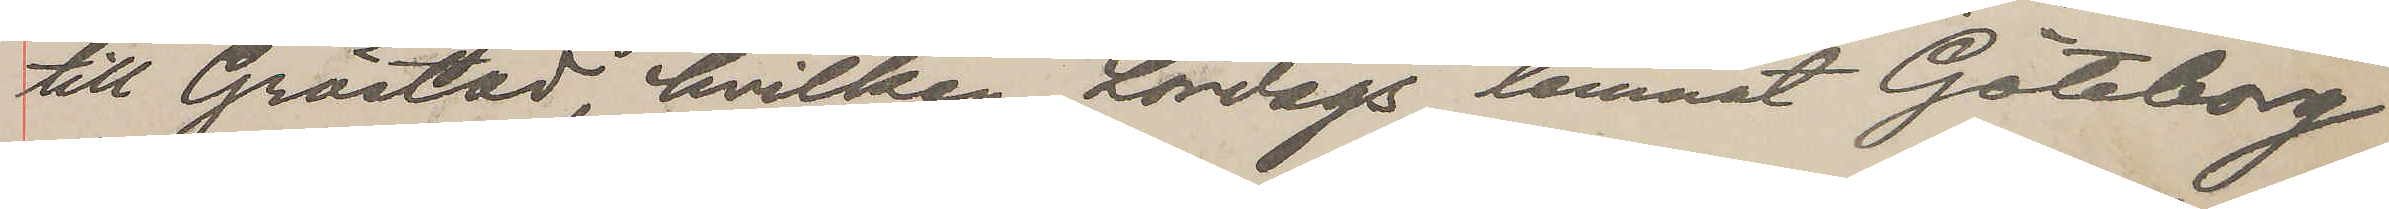till Gröstad, hvilken Lördags lemnat Göteborg
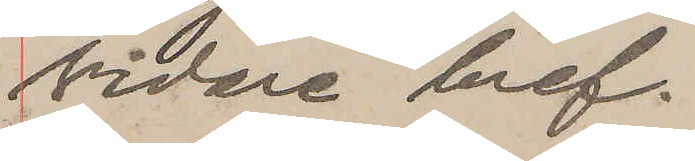vidare bref.
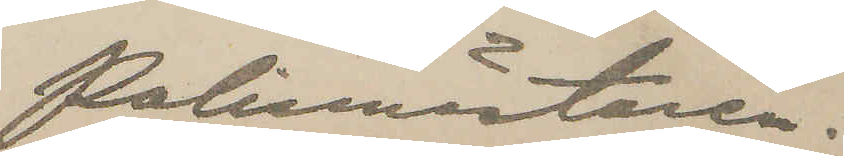Polismästaren.
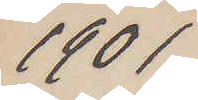1901
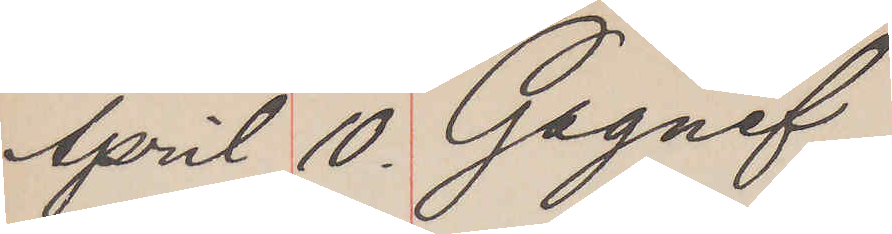April 10. Gagnef
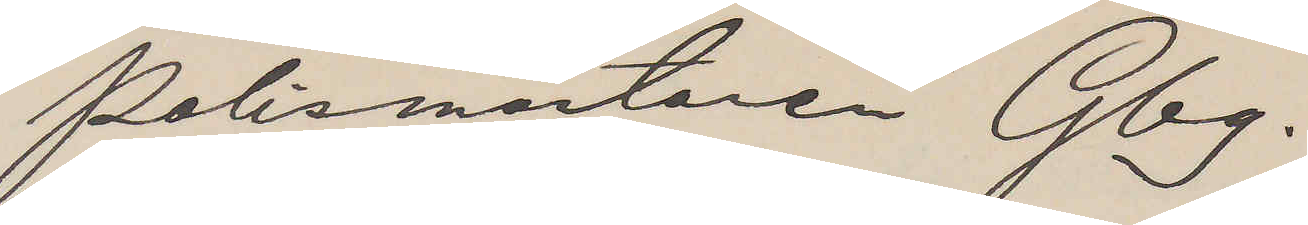Polismästaren Gbg.
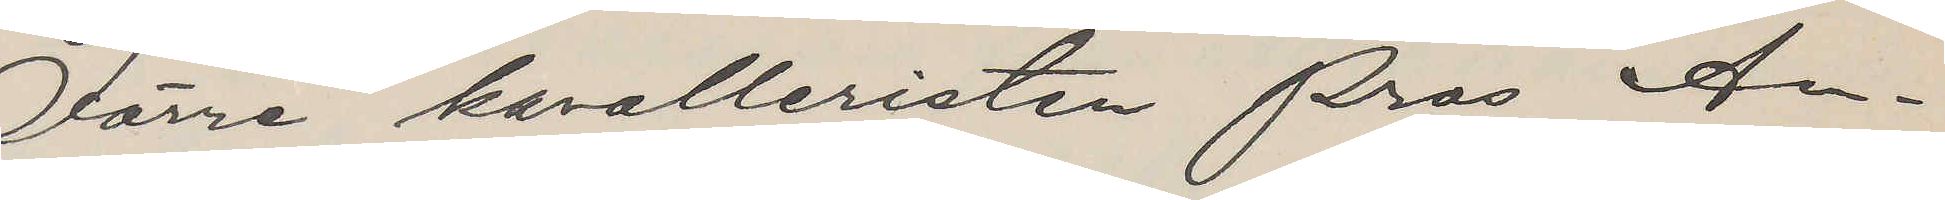Förre kavalleristen Pros An¬
